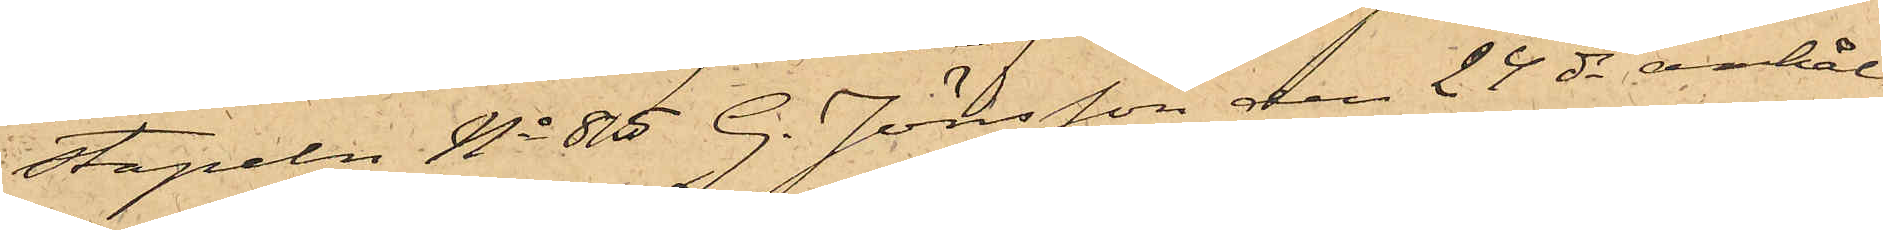stapeln No 85 G. Jönsson den 24 ds anhål¬
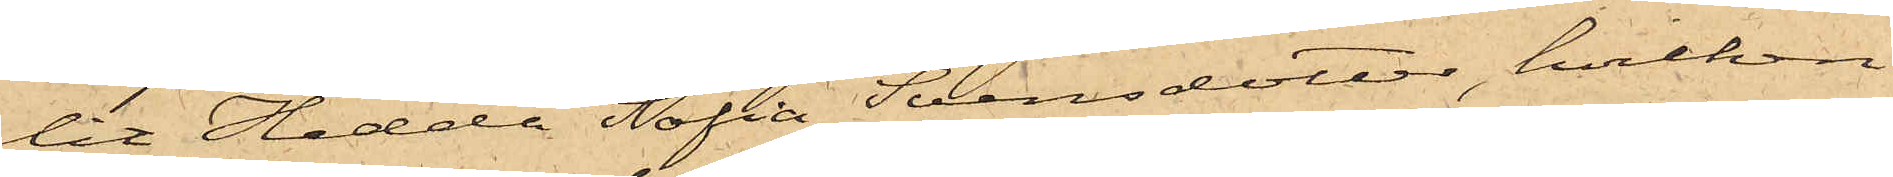lit Hedda Sofia Svensdotter, hvilken
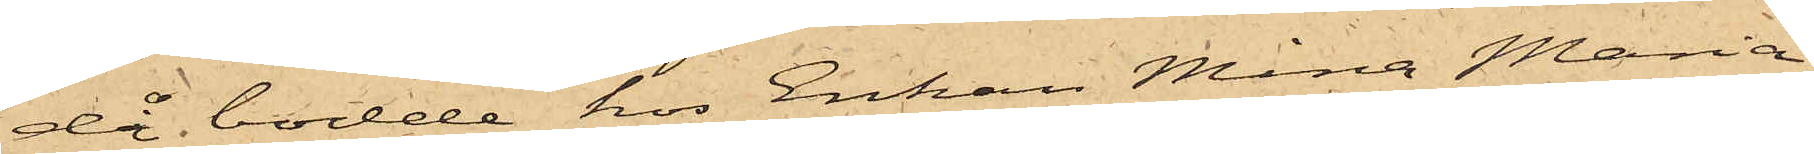då bodde hos Enkan Mina Maria
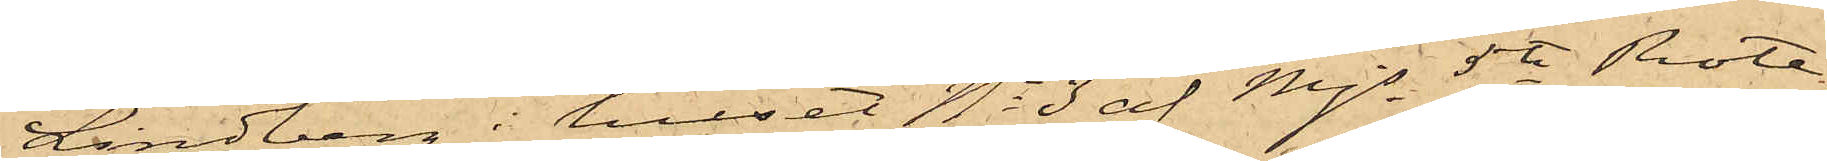Lindberg i huset No 3 af Mjs 5te Rote,
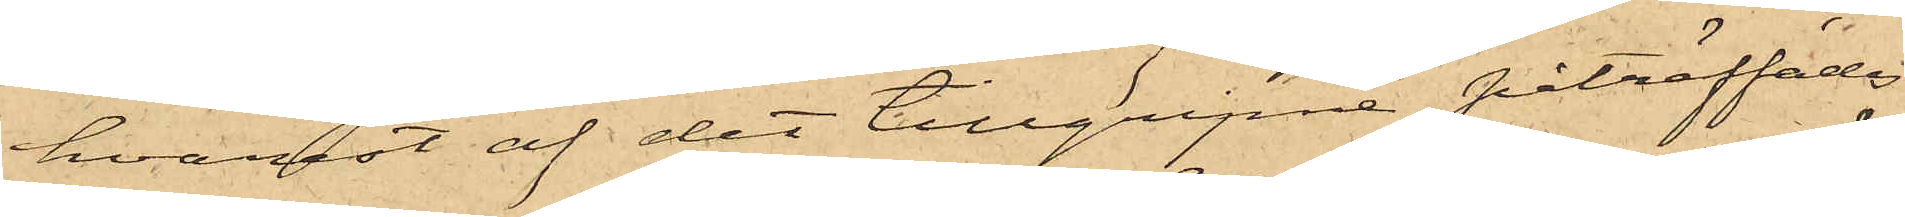hvarest af det tillgripne påträffades
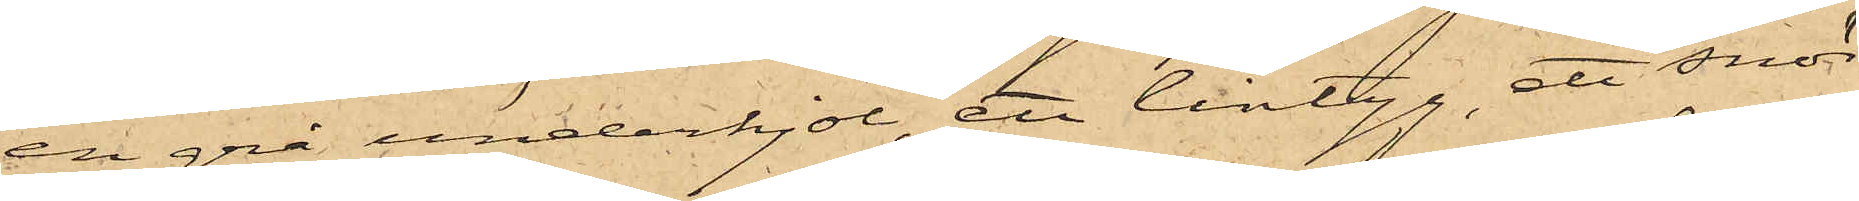en grå underkjol, ett lintyg, ett snör¬
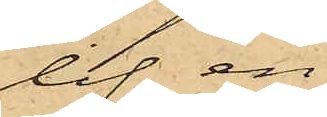lif, en
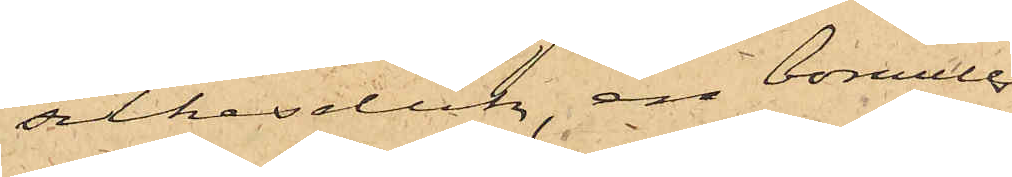silkesduk, en bomulls¬
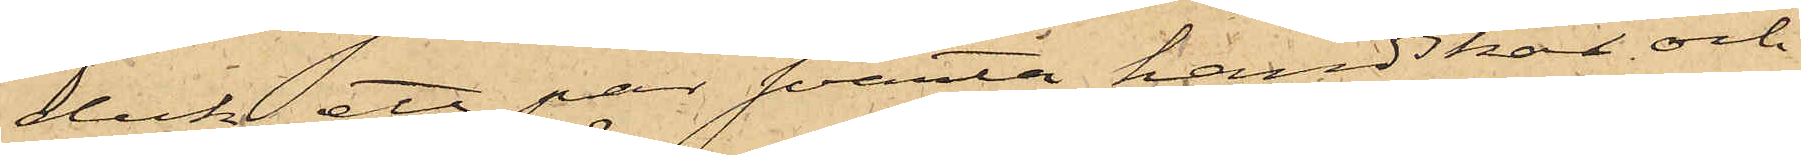duk, ett par svarta handskar och
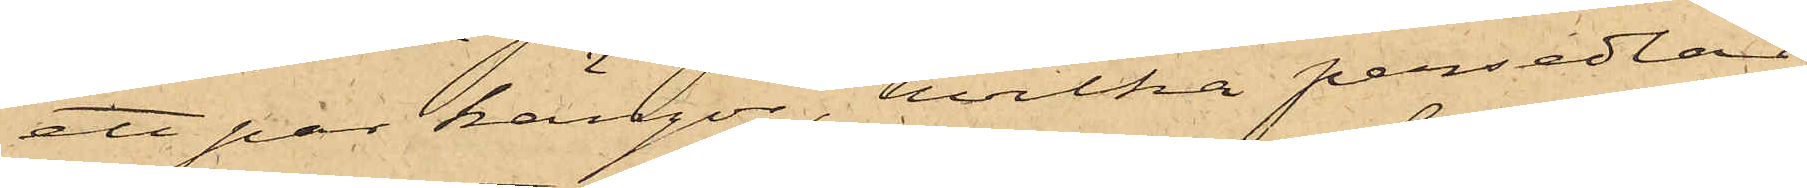ett par kängor, hvilka persedlar
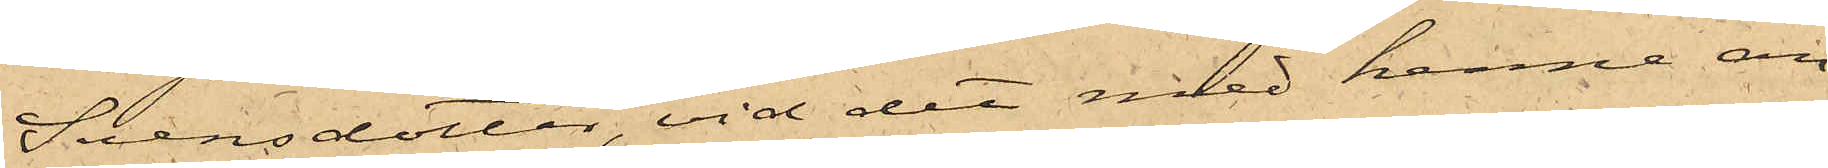Svensdotter, vid det med henne an¬
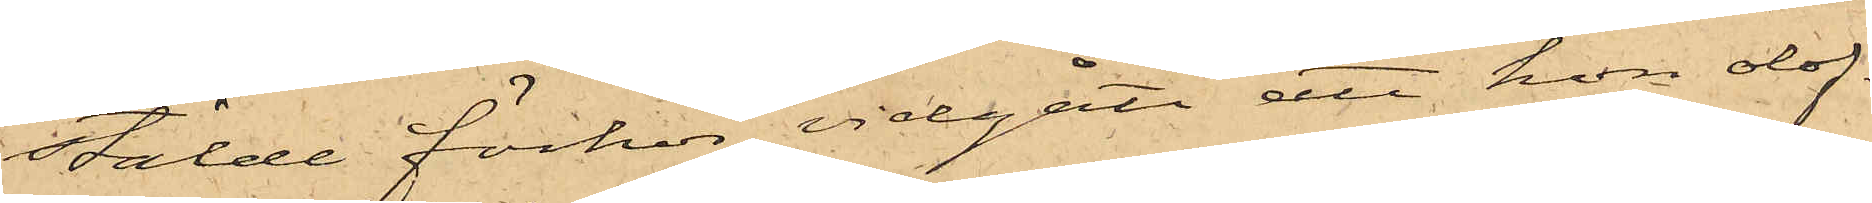stälde förhör, vidgått att hon olof¬
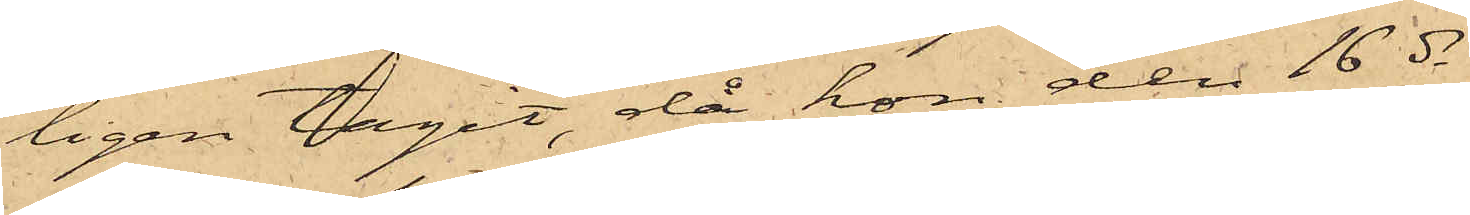ligen tagit, då hon den 16 ds
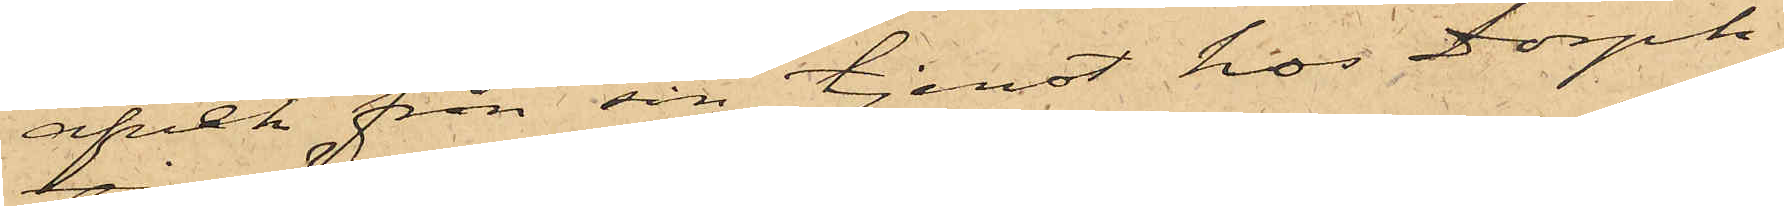afvek från sin tjenst hos Dorph;
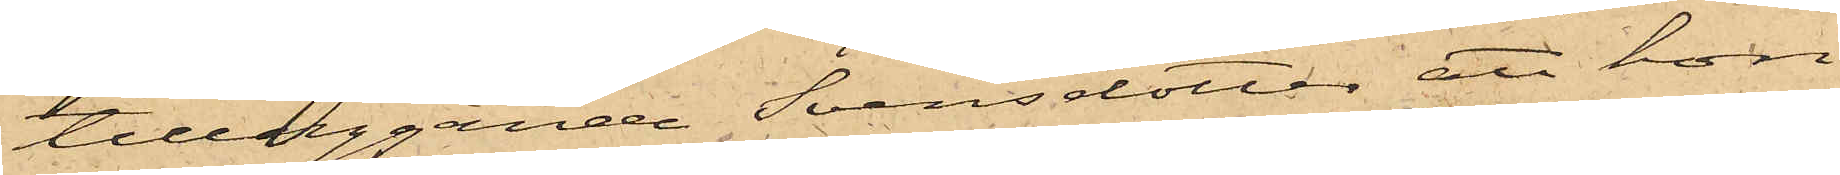tilläggande Svensdotter, att hon
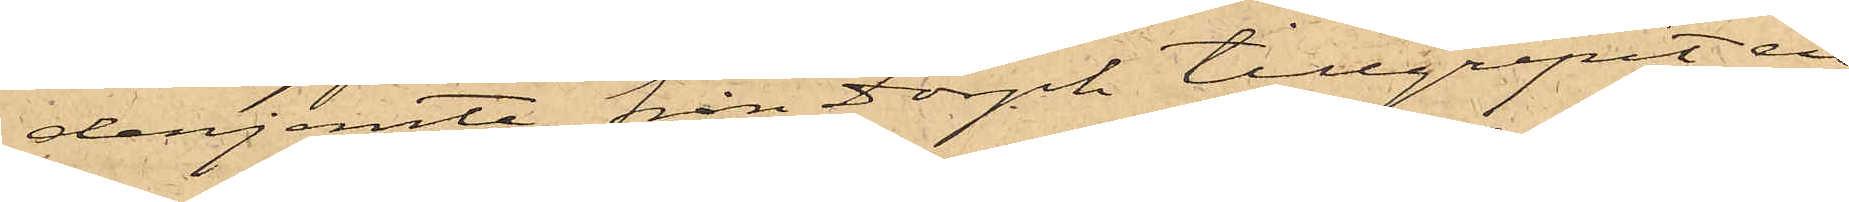derjemte från Dorph tillgripit en
